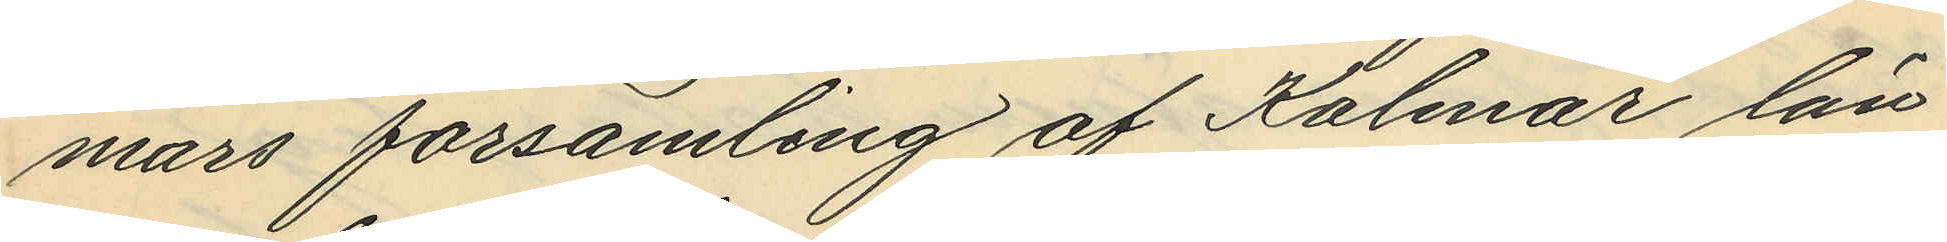mars församling af Kalmar län
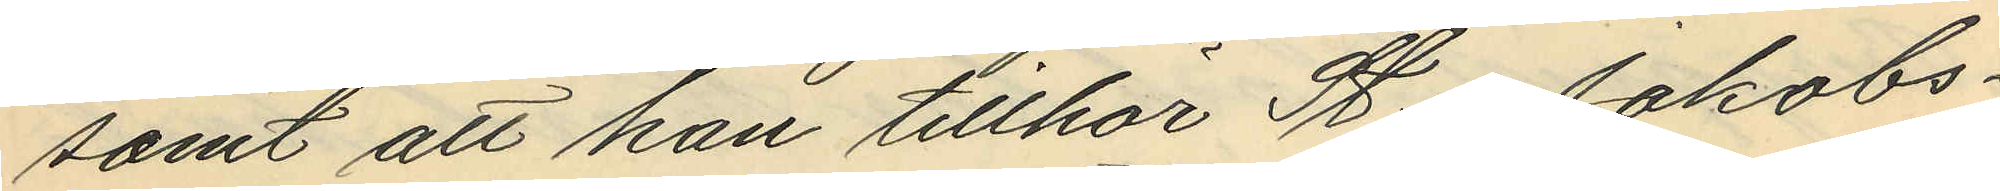samt att han tillhör St. Jakobs¬
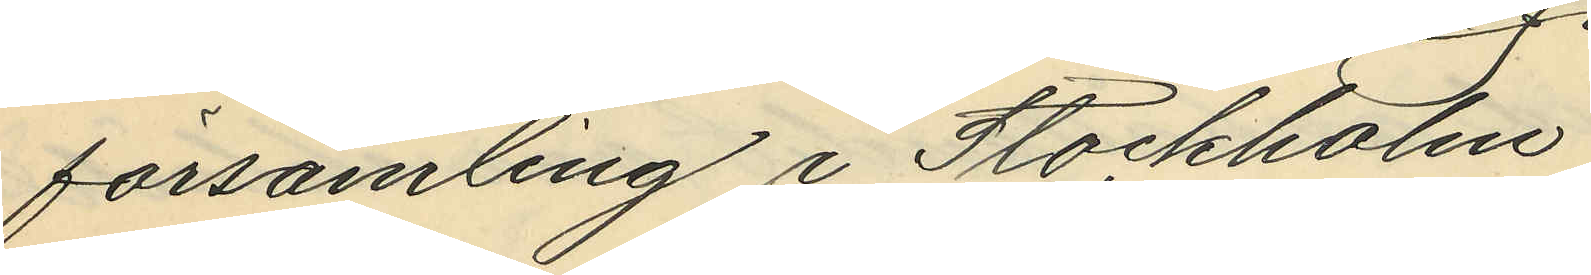församling i Stockholm.
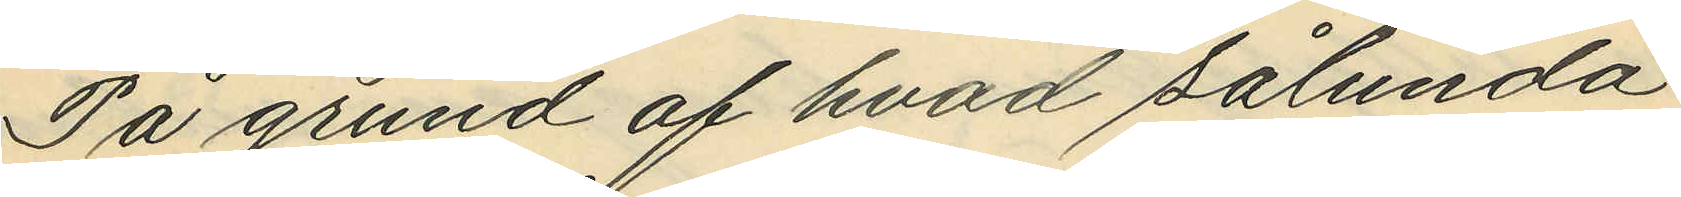På grund af hvad sålunda
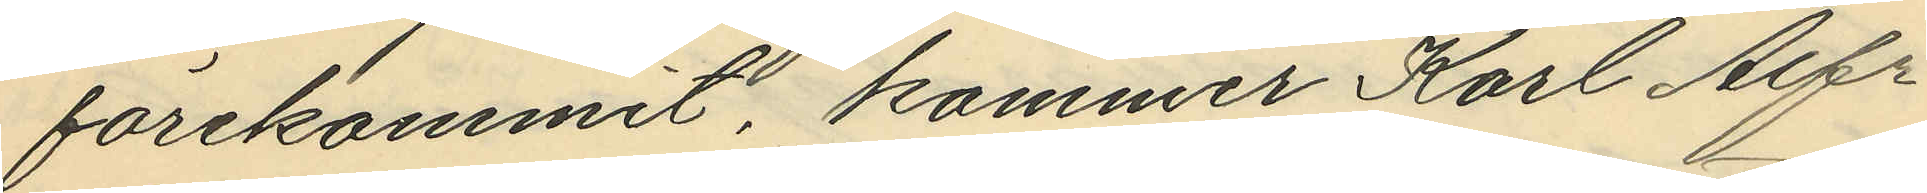förekommit, kommer Karl Alfr
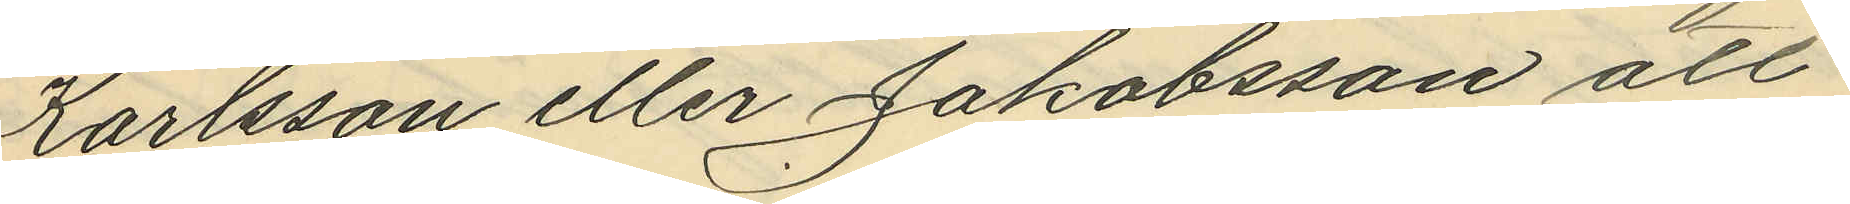Karlsson eller Jakobsson att
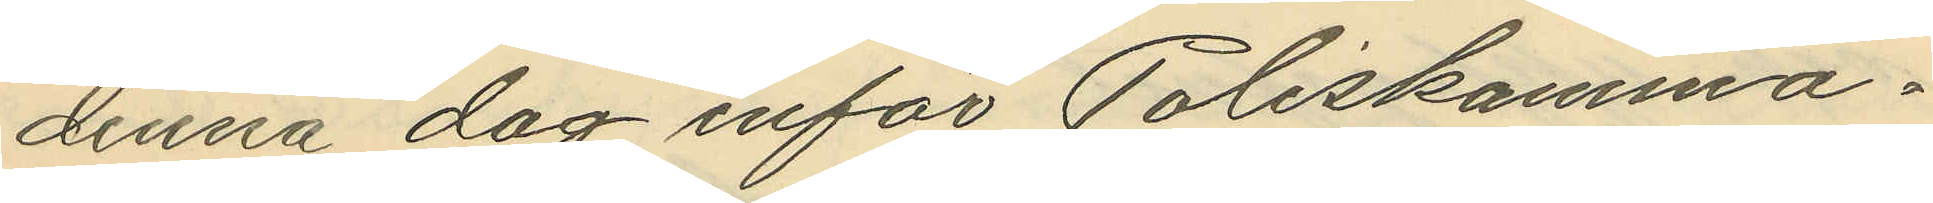denna dag inför Poliskamma¬
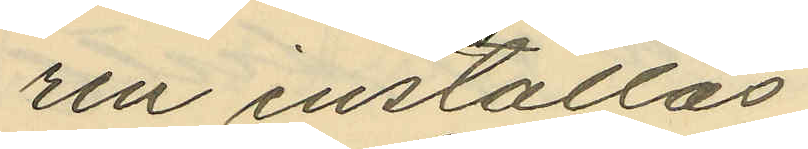ren inställas.
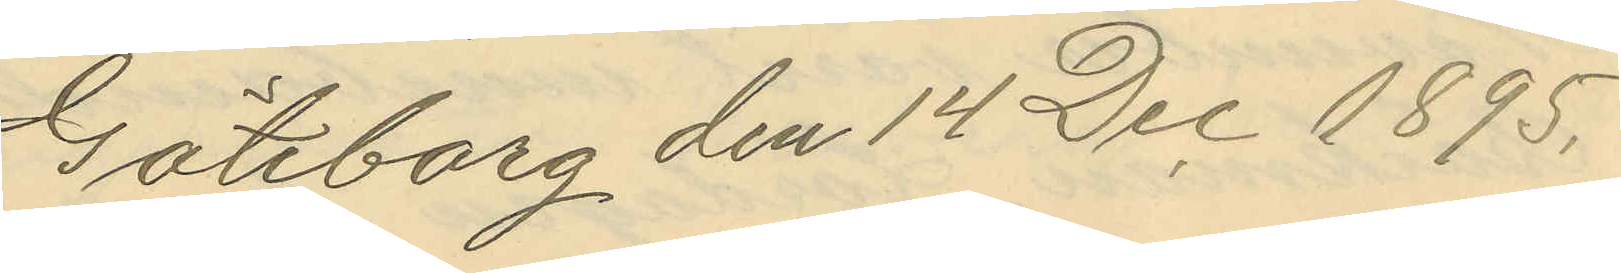Göteborg den 14 Dec 1895.
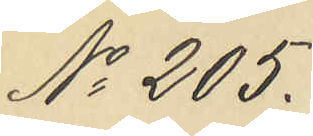No 205.
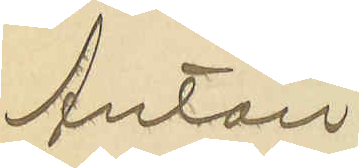Anton
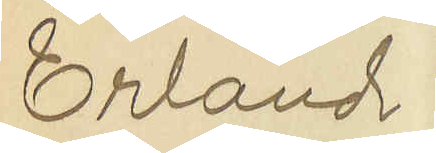Erland
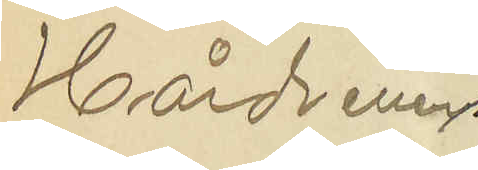Hård
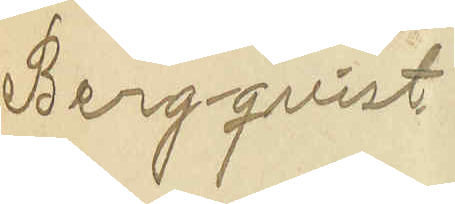Bergqvist
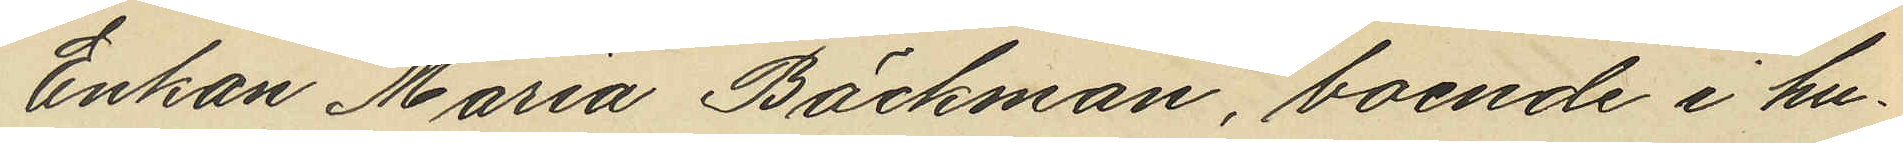Enkan Maria Bäckman, boende i hu¬
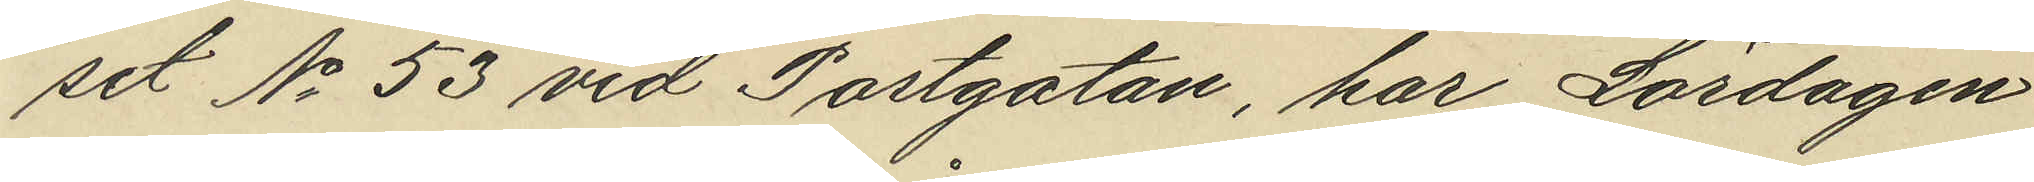set No 53 vid Postgatan, har Lördagen
